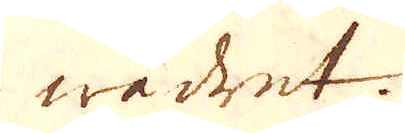wädret.
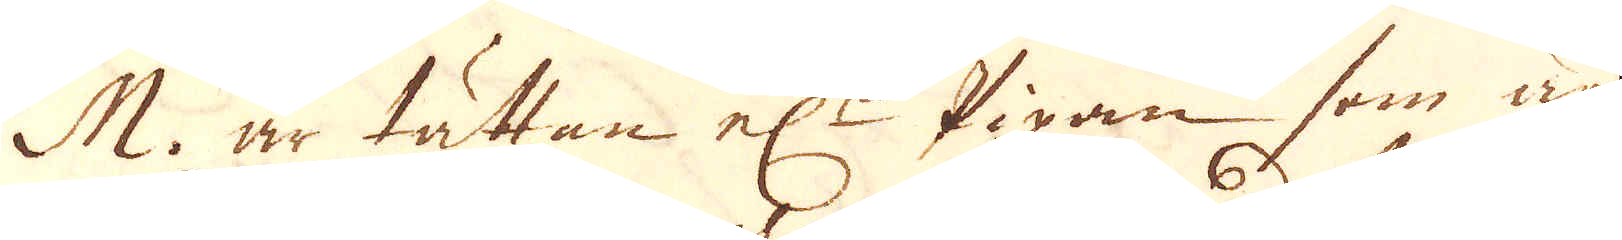M. är tättan el:r Pipan som är
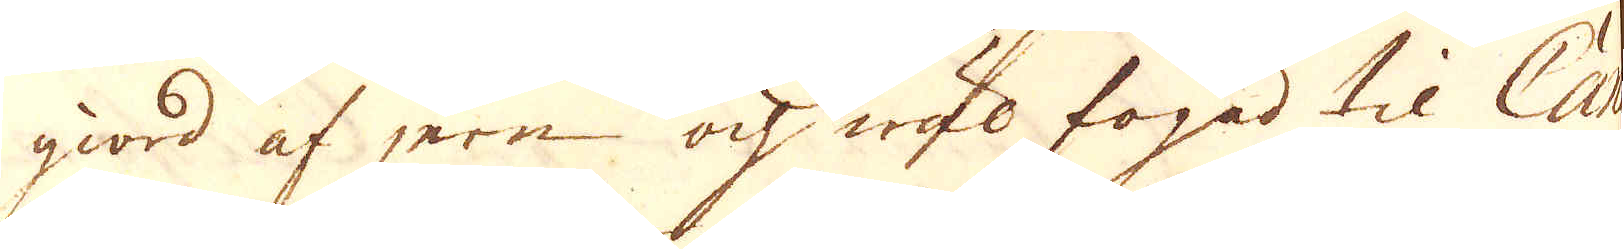giord af jern och wäl fogad til Cana-
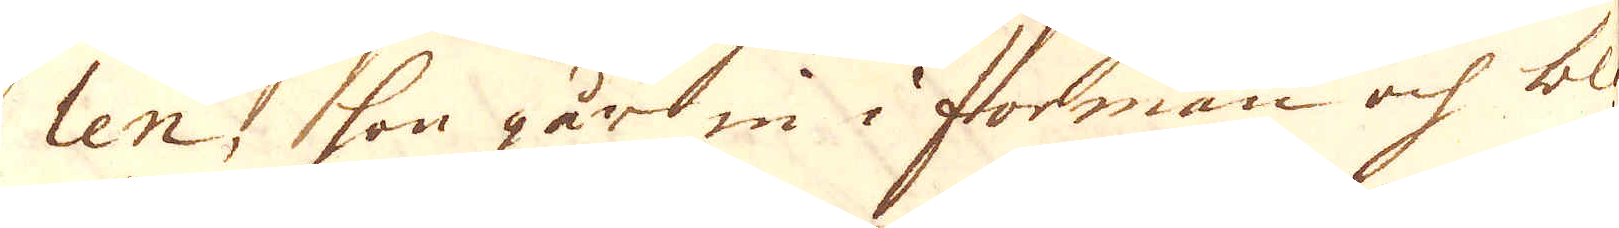len, som går in i forman och blå-
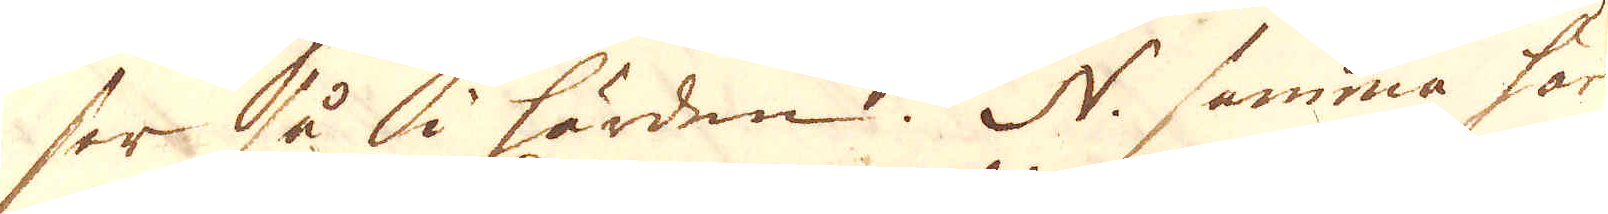ser så i härden. N. samma här
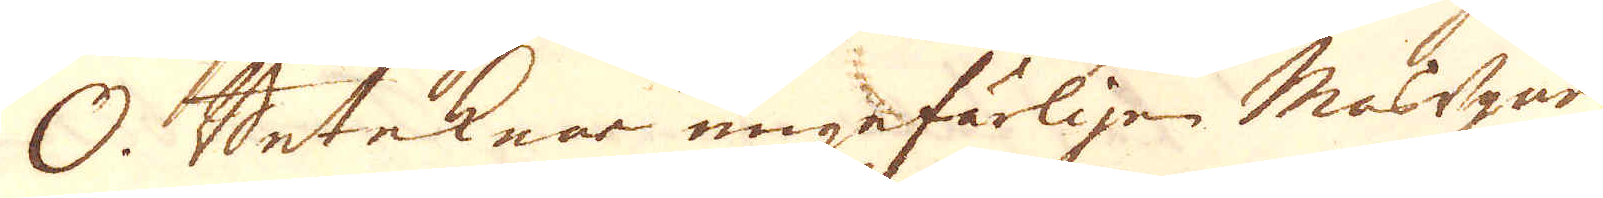O. Beteknar ungefärligen Masugnen
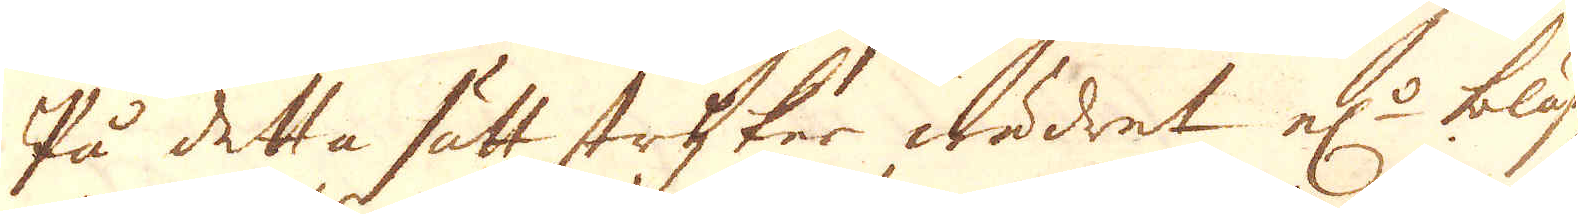På detta sätt strykar wädret el:r blås
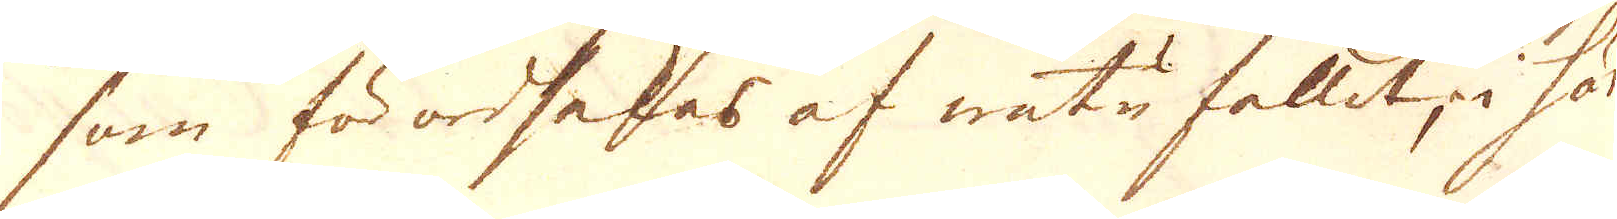som förordsakas af wutufallet, i här-
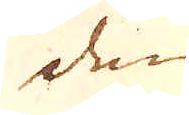den
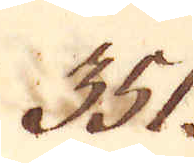351.
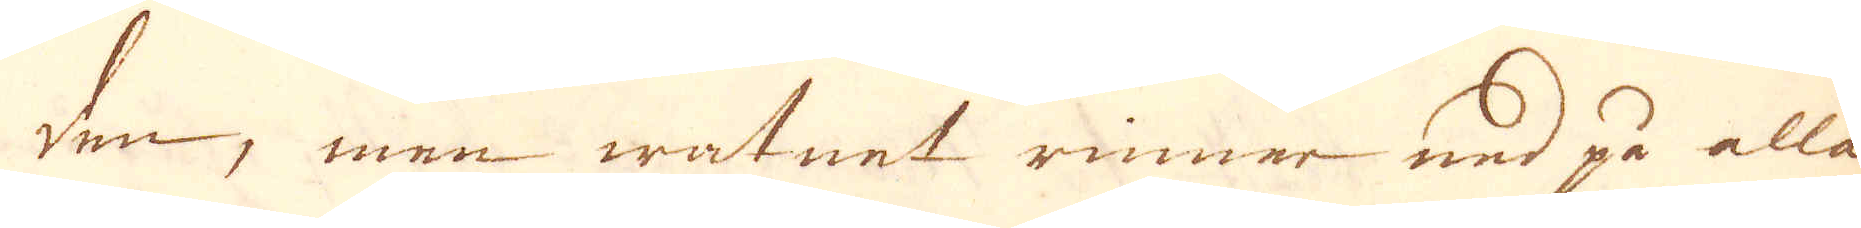den, men watnet rinner ned på alla
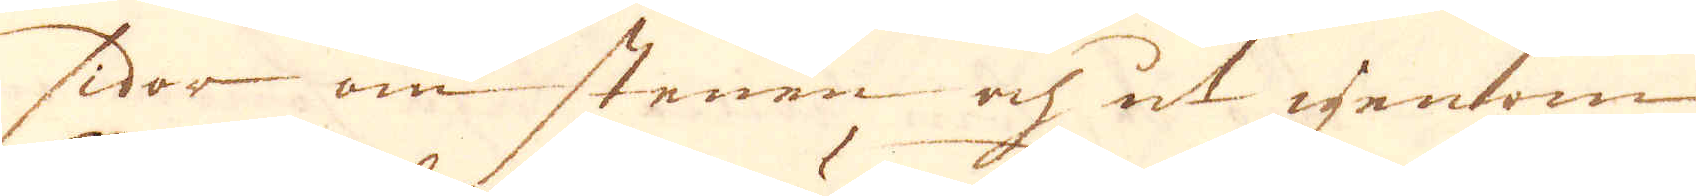sidor om stenen och ut genom
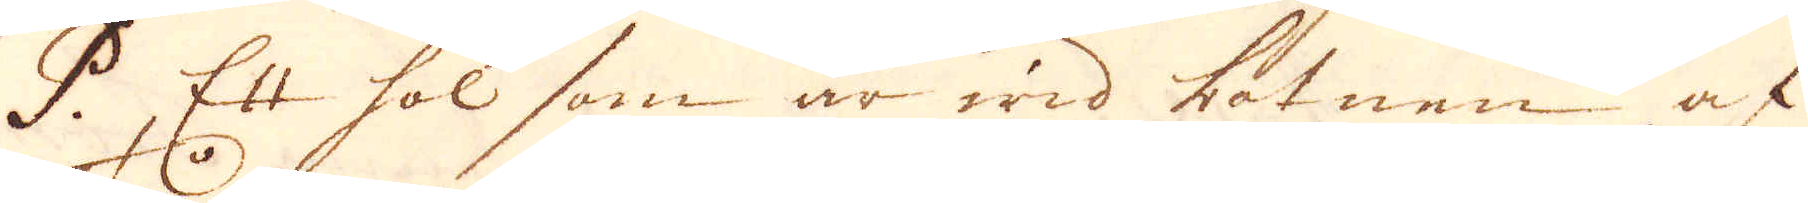P Ett hol som är wid botnen af
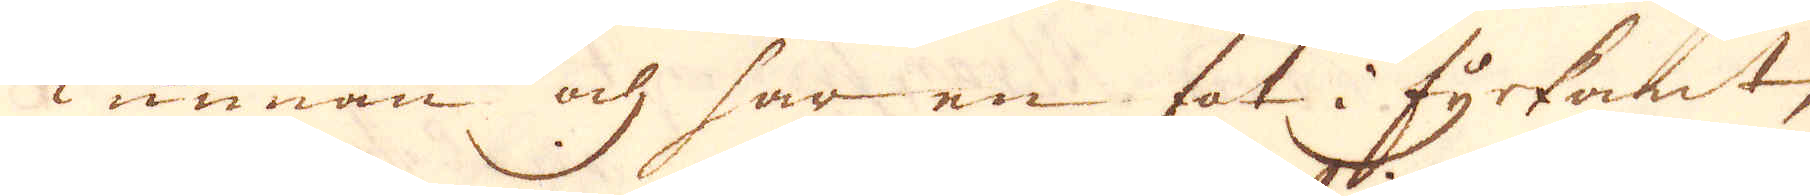Tunnan och har en fot i fyrkant,
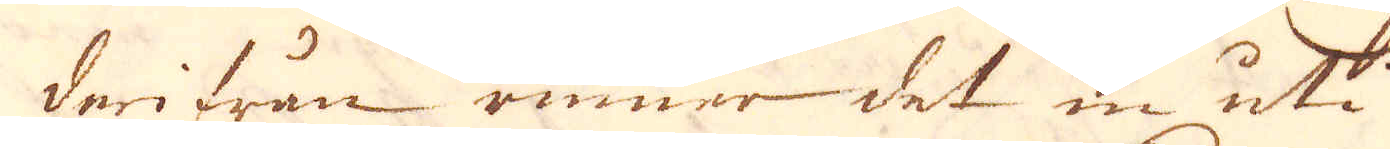derifrån rinner det in uti
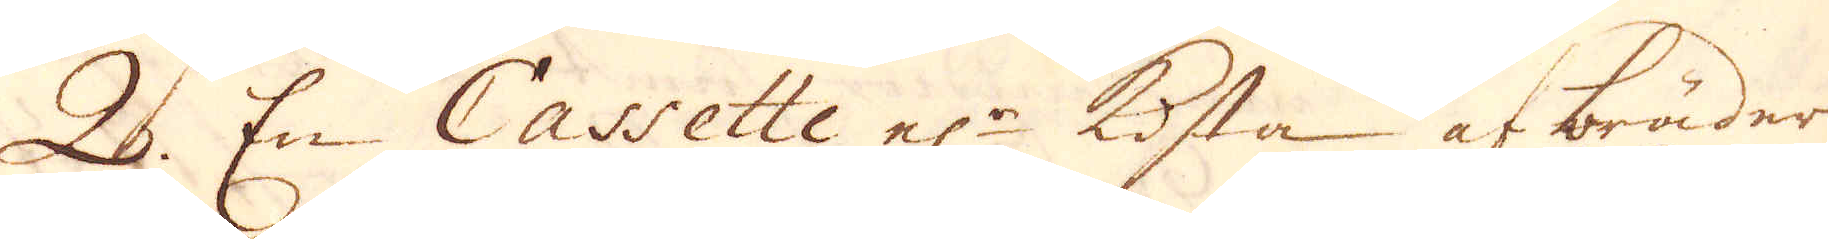Q. En Cassette el:r Kista af bräder
